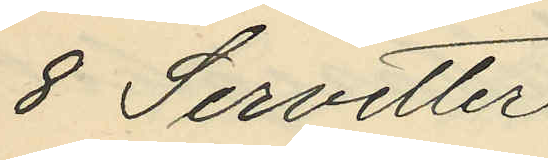8 Servetter
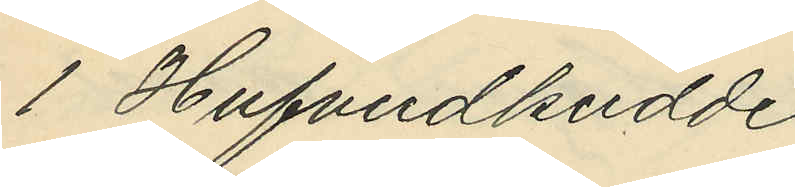1 Hufvudkudde
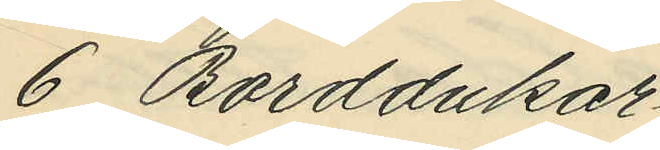6 Borddukar
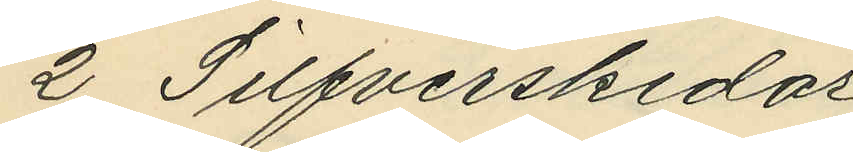2 Silfverskedar
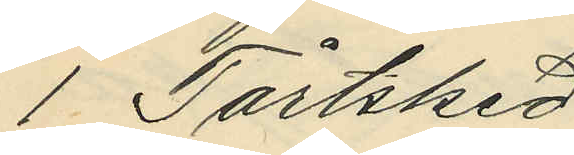1 Tårtsked
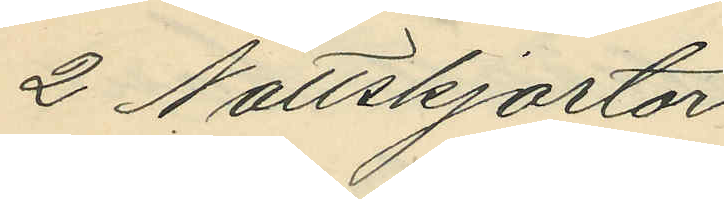2 Nattskjortor
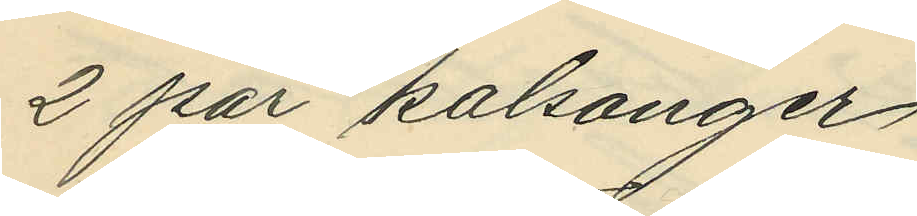2 par kalsonger
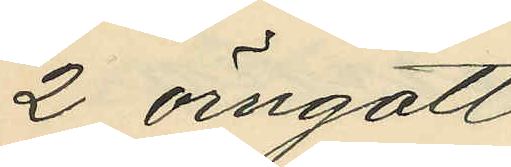2 örngott
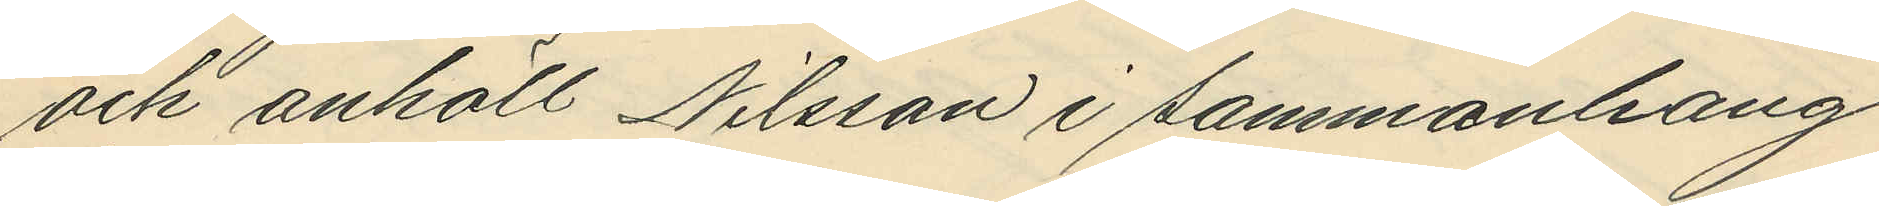och anhöll Nilsson i sammanhang
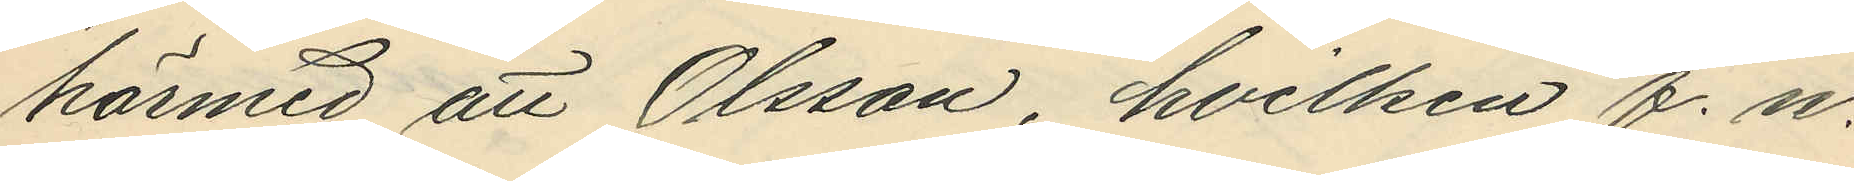härmed att Olsson, hvilken f. n.
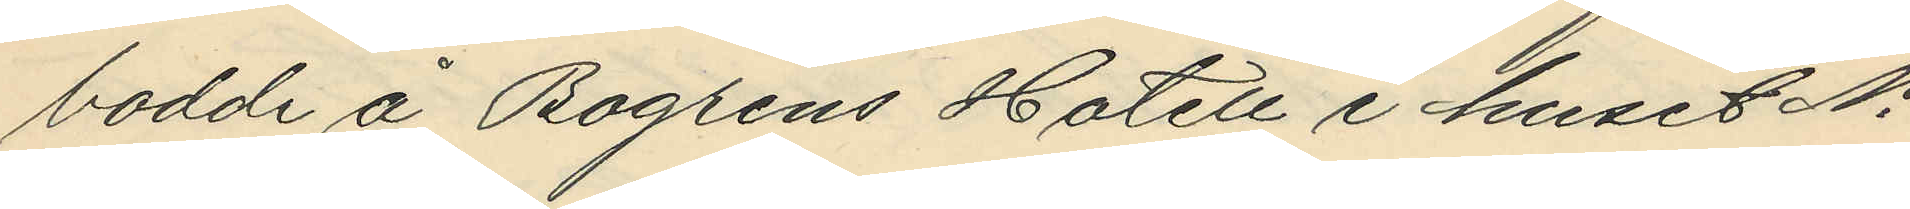bodde å Bogrens Hotell i huset No
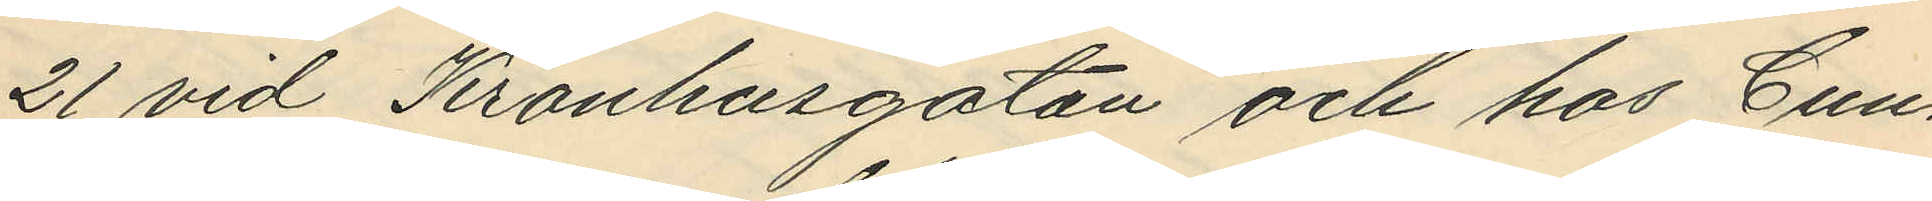21 vid Kronhusgatan och hos Cun¬
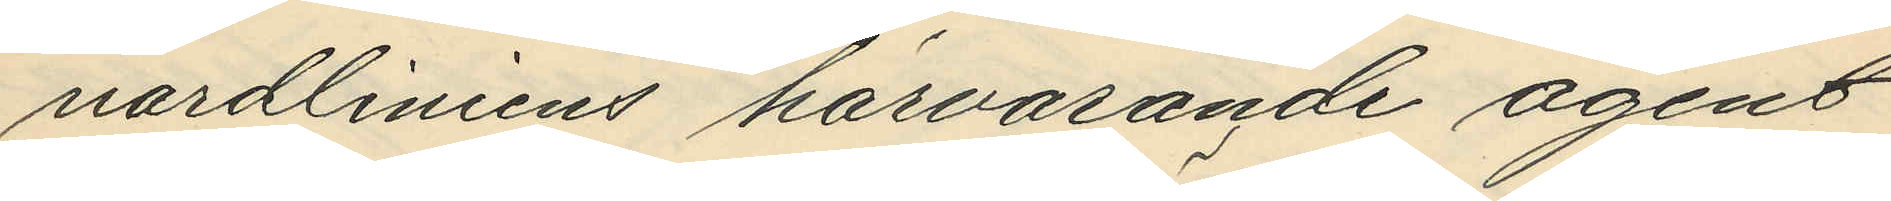nardliniens härvarande agent
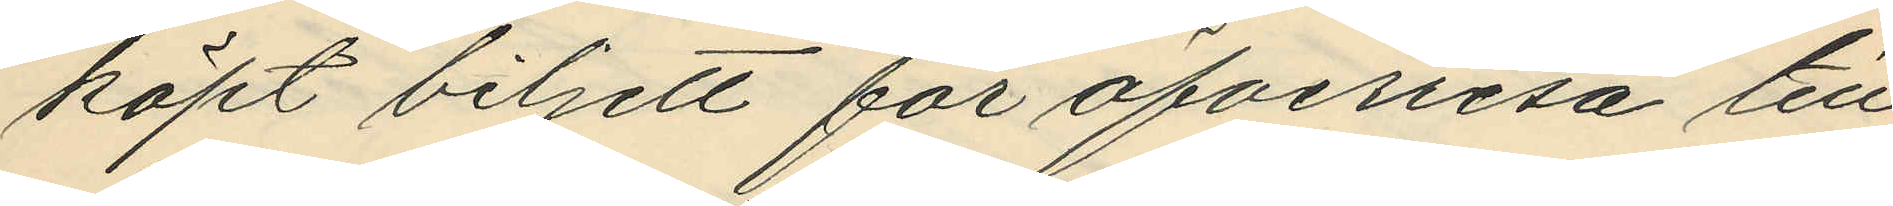köpt biljett för öfverresa till
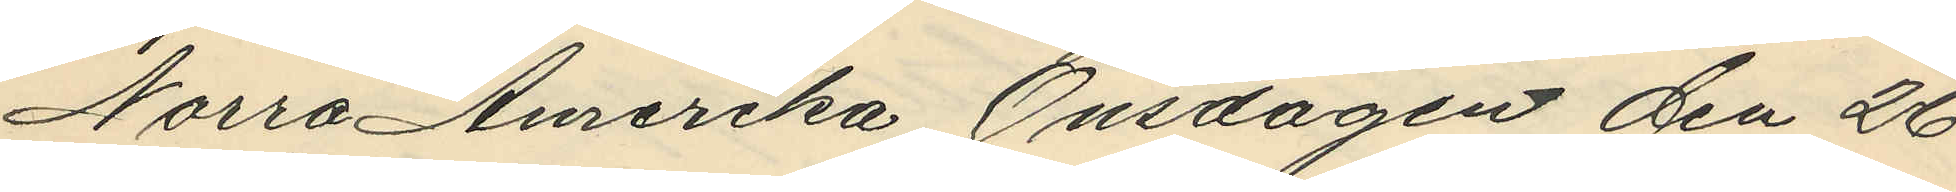Norra Amerika Onsdagen den 26
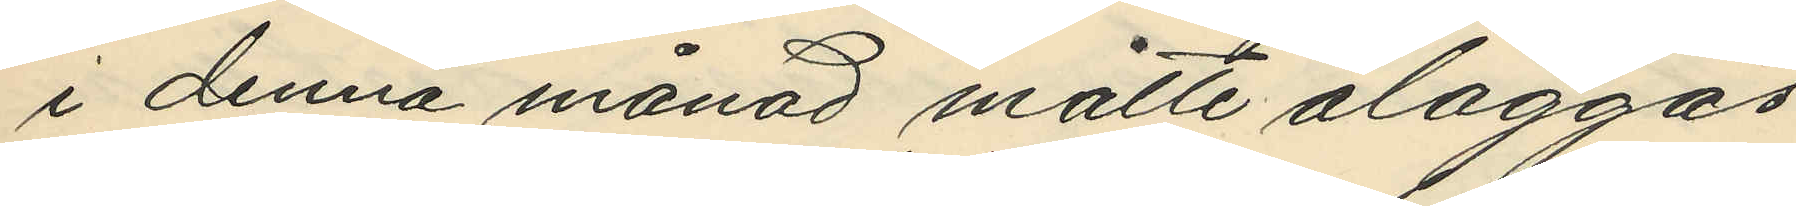i denna månad måtte åläggas
